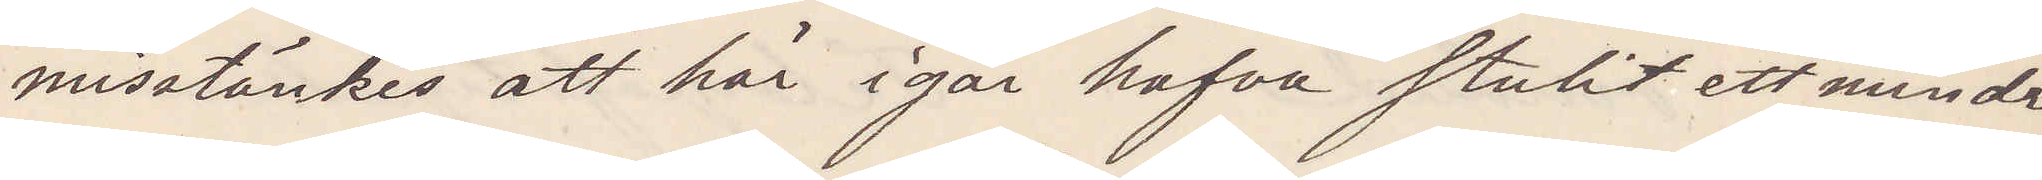misstänkes att här i går hafva stulit ett mindre
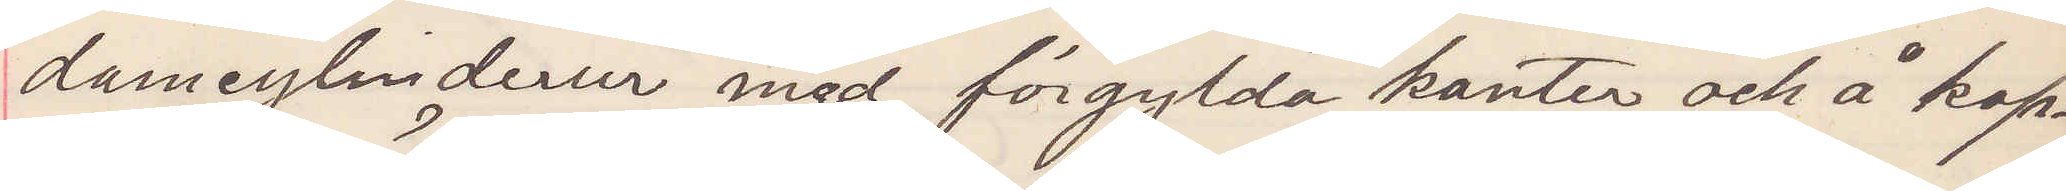damcylinderur med förgylda kanter och å kap¬
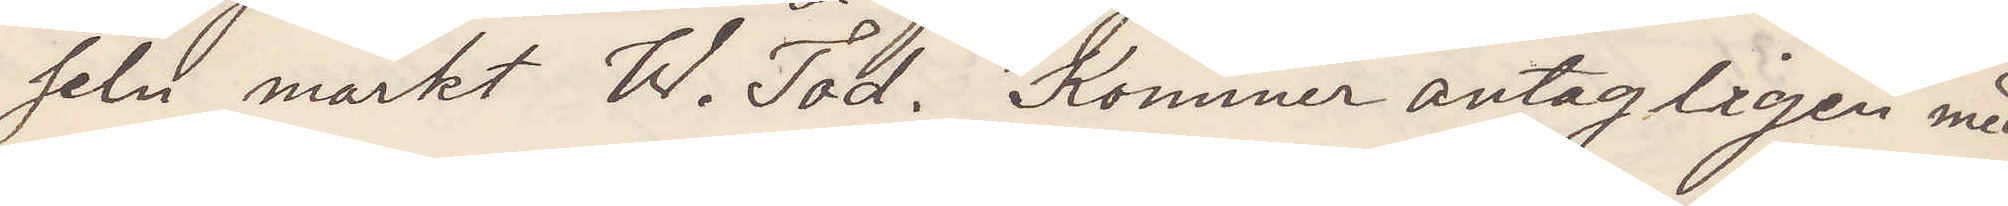seln märkt W. Tod. Kommer antagligen med
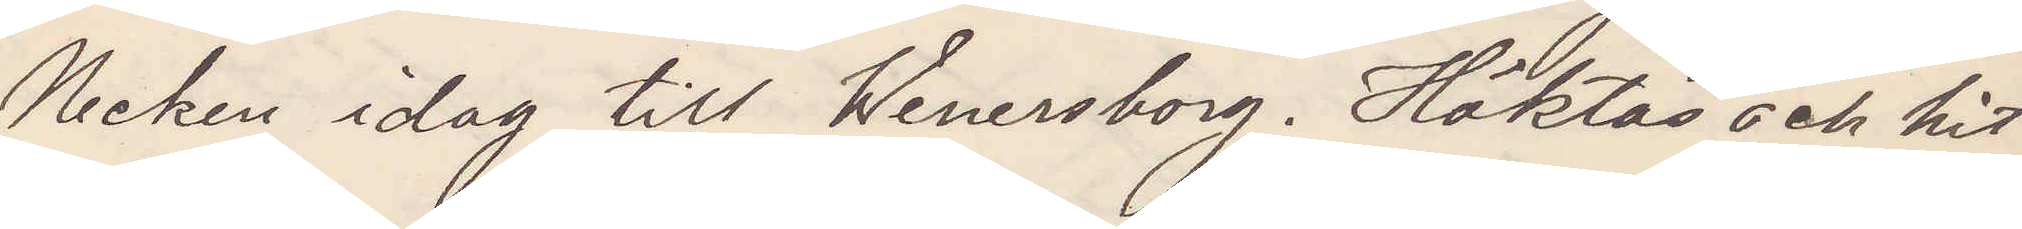Necken idag till Wenersborg. Häktas och hit¬
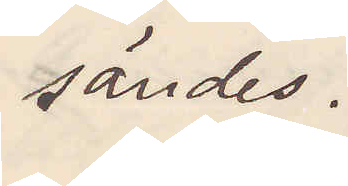sändes.
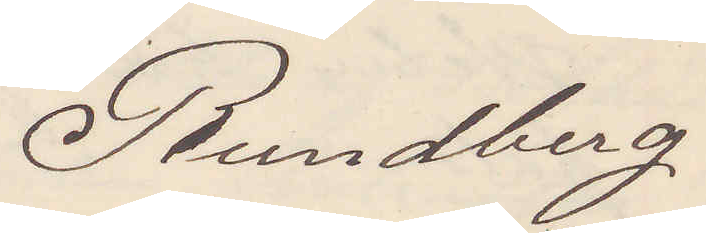Rundberg.
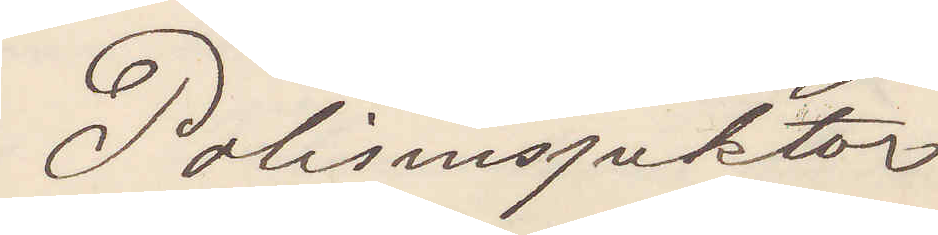Polisinspektor
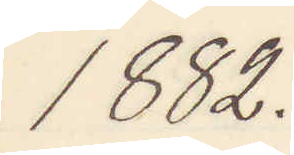1882.
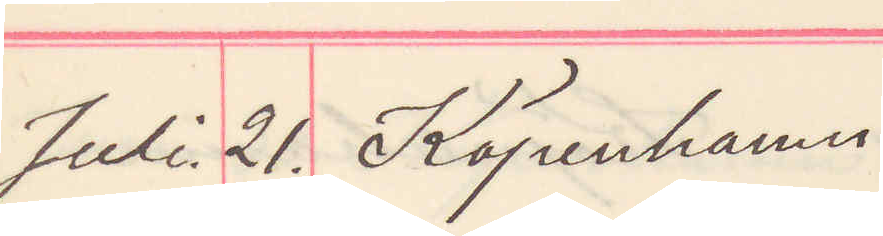Juli. 21. Köpenhamn
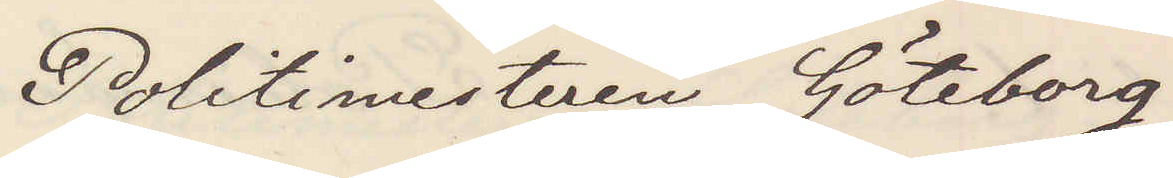Politimesteren Göteborg
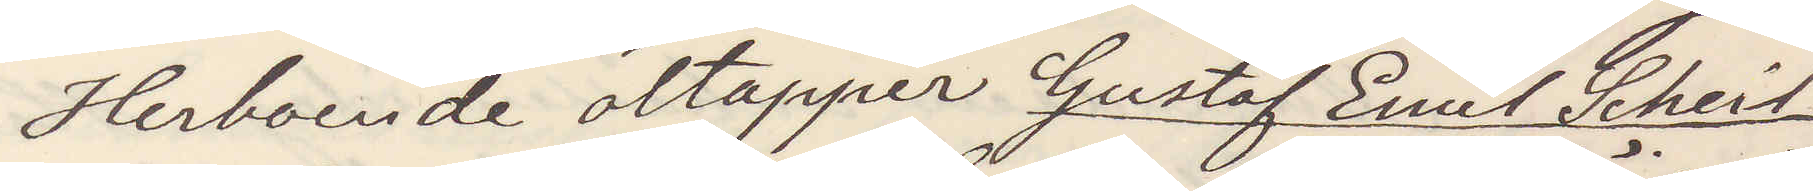Herboende öltapper Gustaf Emil Scheit¬
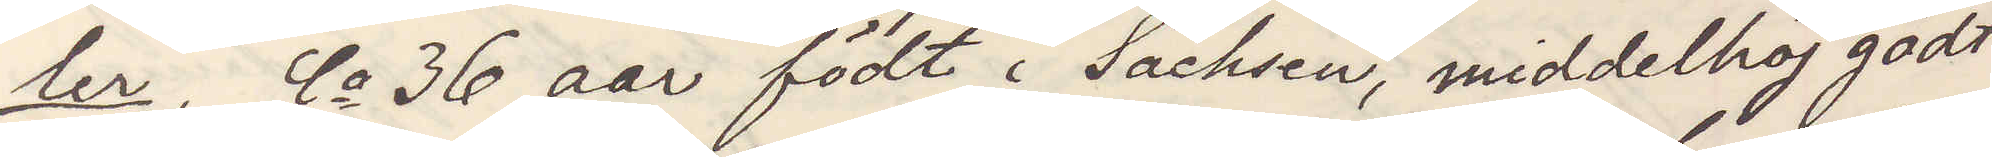ler, Ca 36 aar födt i Sachsen, middelhöj godt
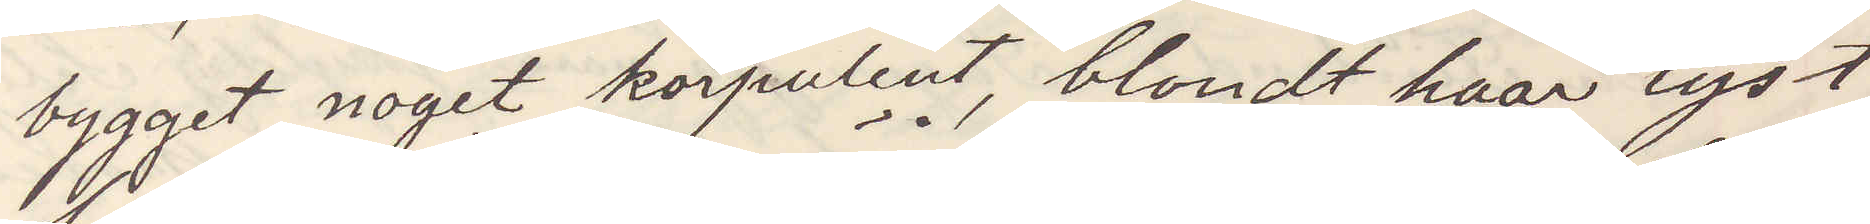byggt noget korpulent, blondt haar lyst
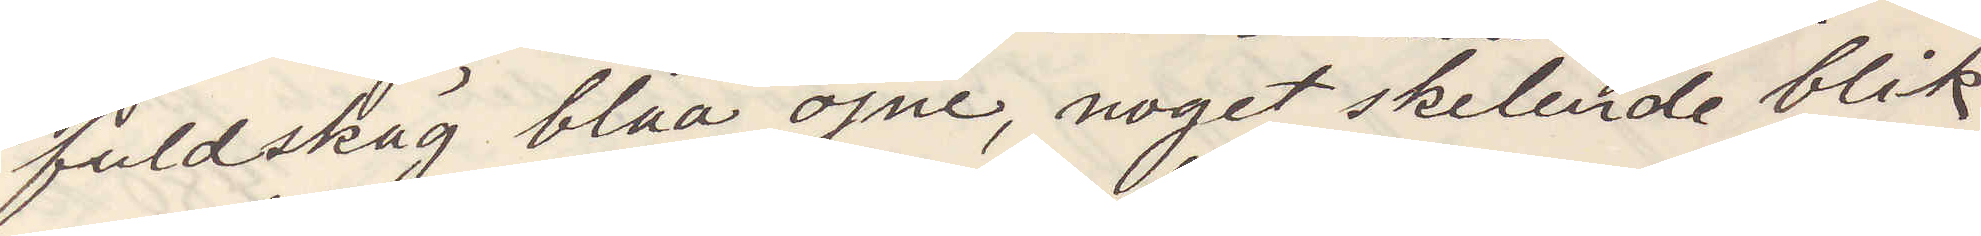fuldskäg blaa öjne, noget skelende blik
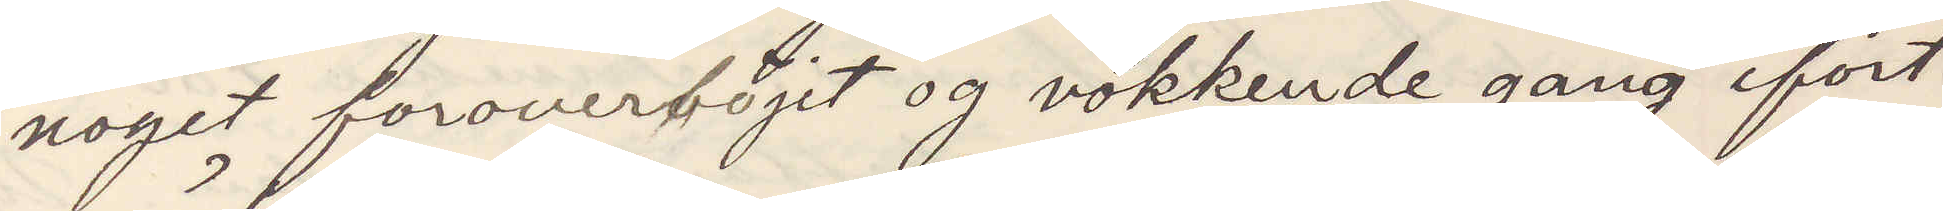noget foroverböjet og vokkende gang ifört
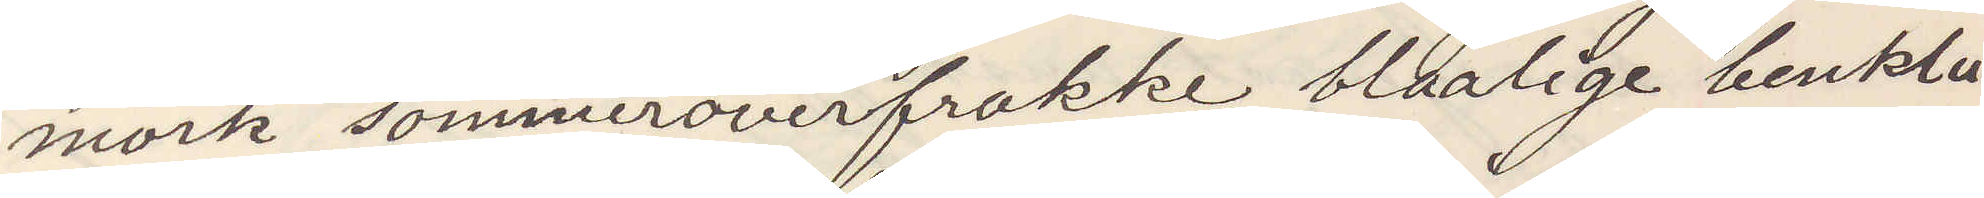mörk sommaroverfrakke blaalige benklä¬
